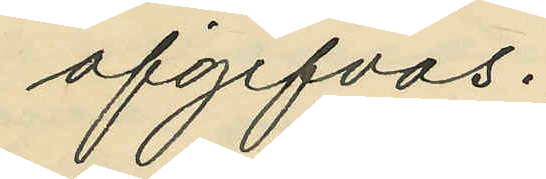afgifvas.
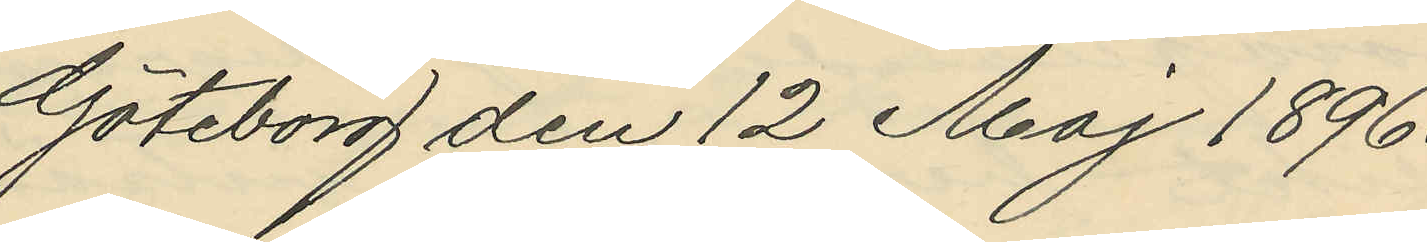Göteborg den 12 Maj 1896.
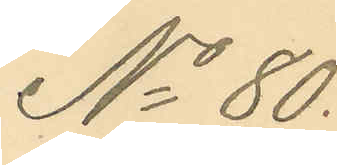No 80.
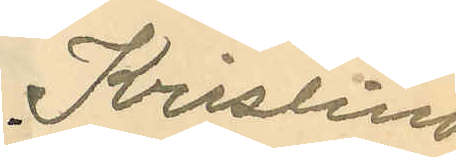Kristina
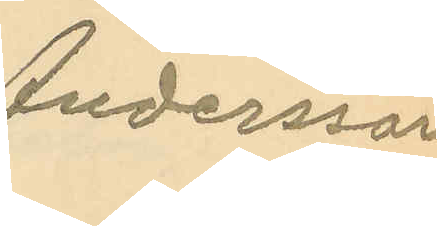Andersson
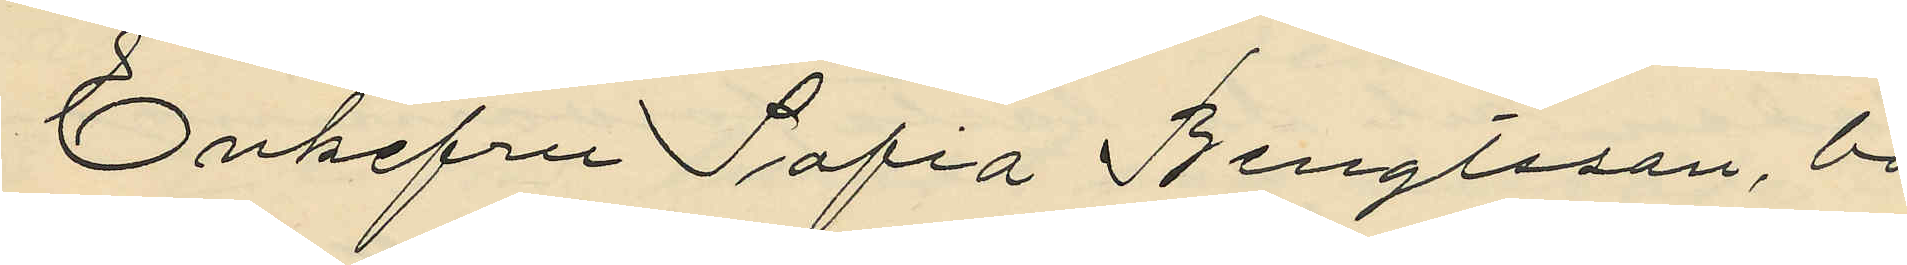Enkefru Sofia Bengtsson, bo¬
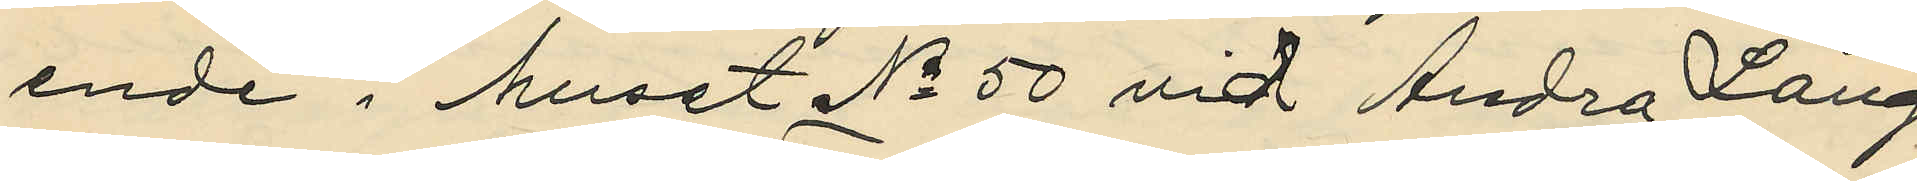ende i huset No 50 vid Andra Lång¬
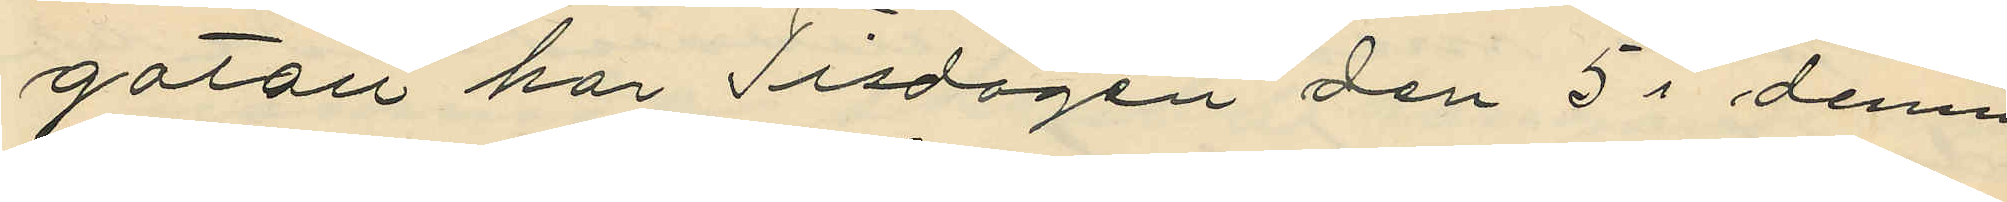gatan har Tisdagen den 5 i denna
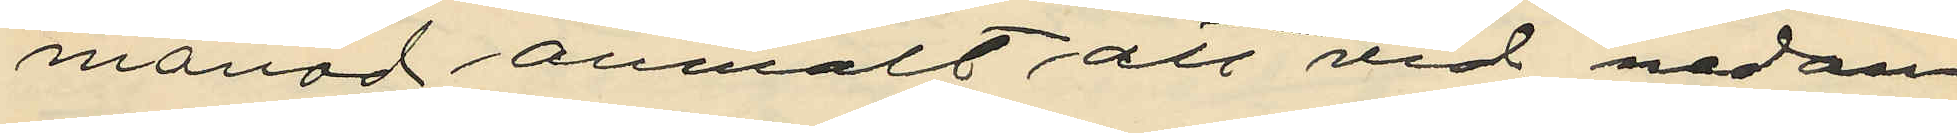månad anmält att vid nedan¬
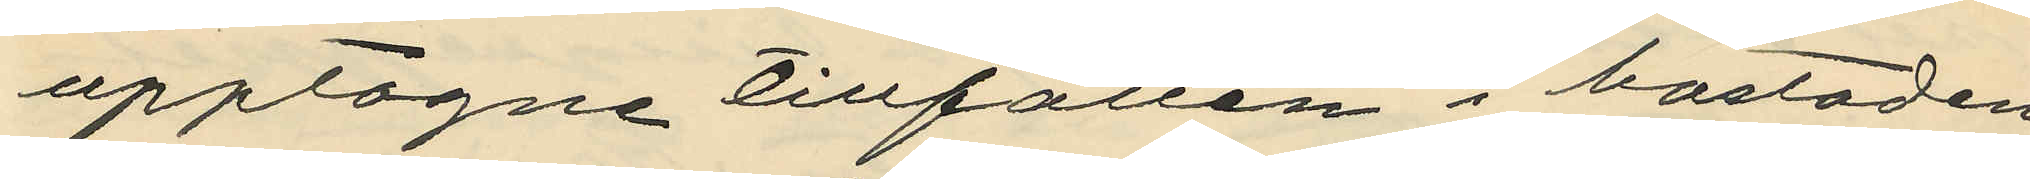upptagne tillfällen i bostaden
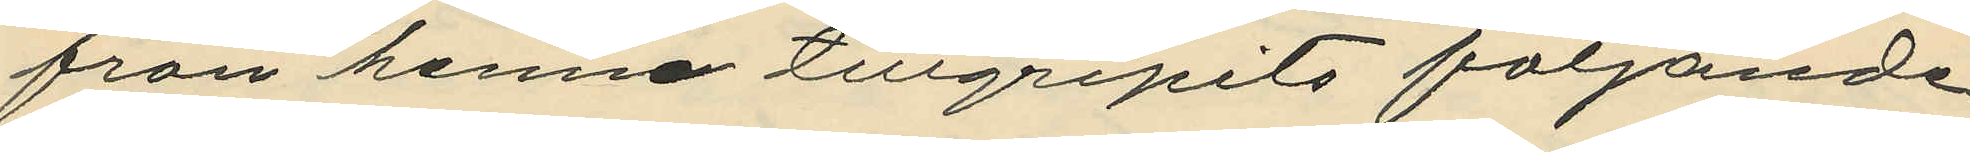från henne tillgripits följande
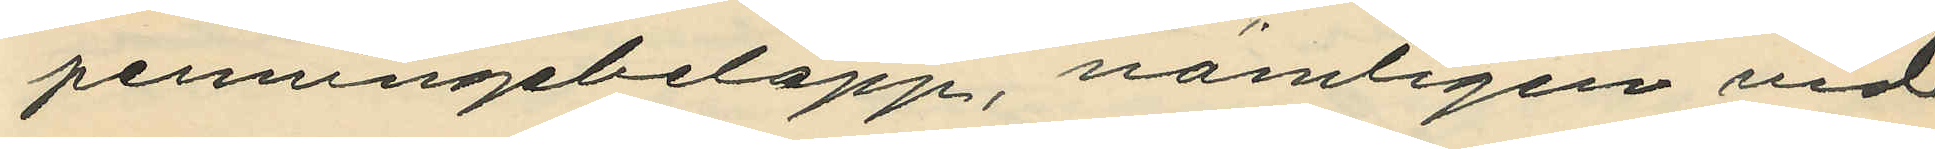penningebelopp, nämligen vid
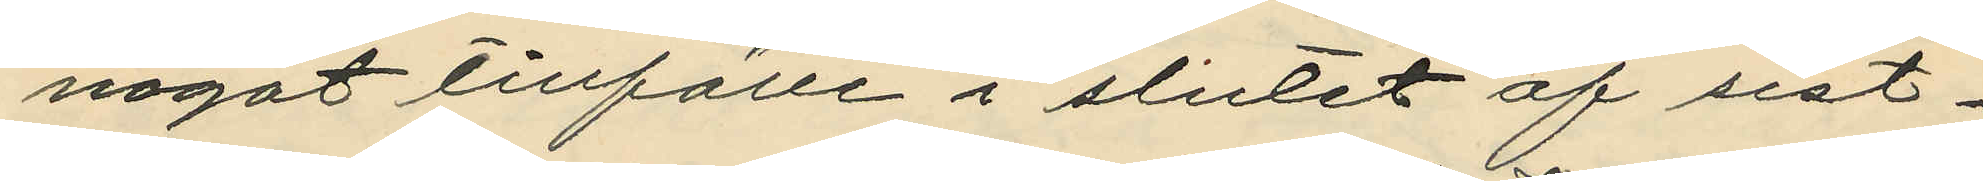något tillfälle i slutet af sist¬
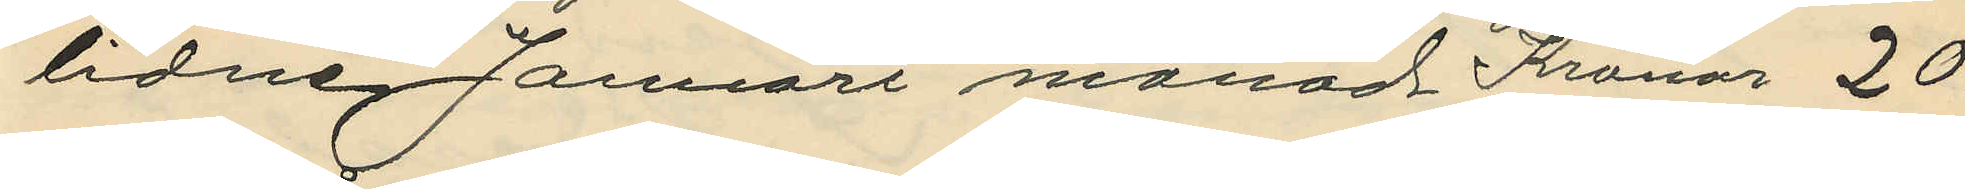lidne Januari månad Kronor 20:
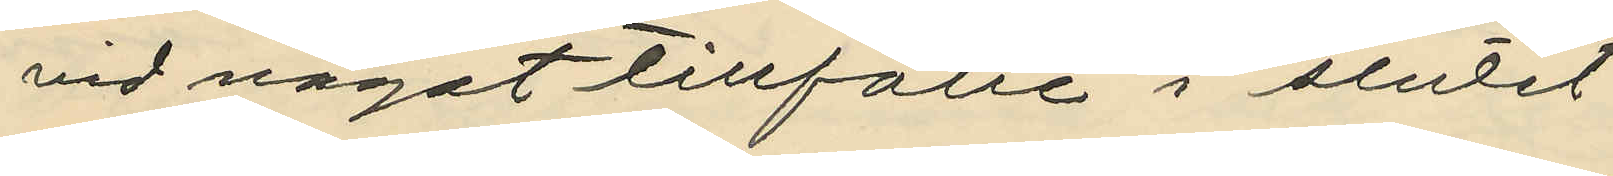vid något tillfälle i slutet
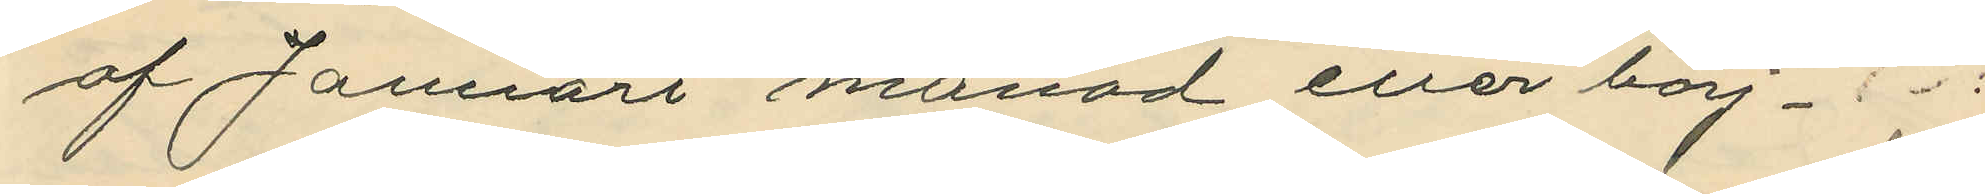af Januari månad eller börj¬
